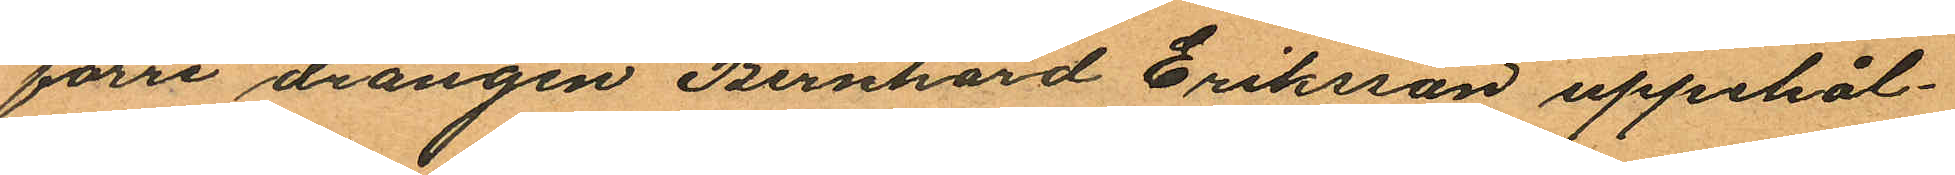förre drängen Bernhard Eriksson uppehål¬
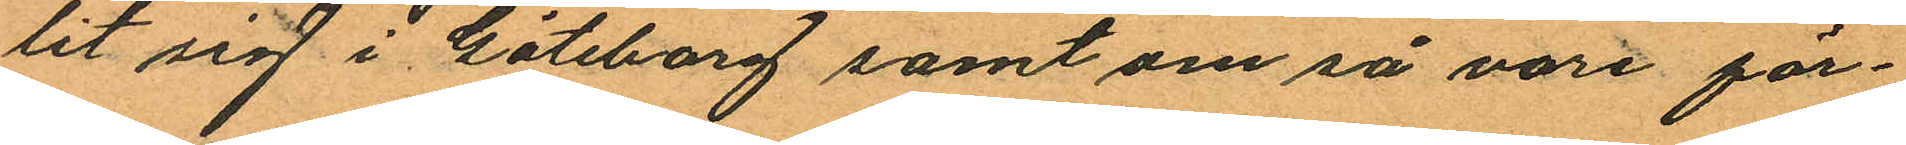lit sig i Göteborg samt om så vore för¬
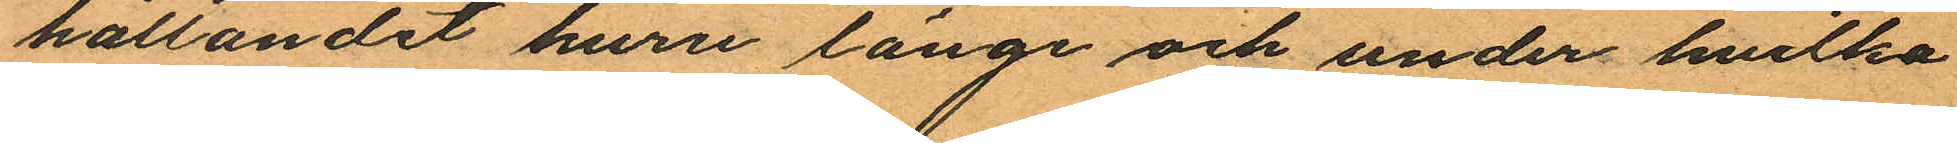hållandet huru länge och under hvilka
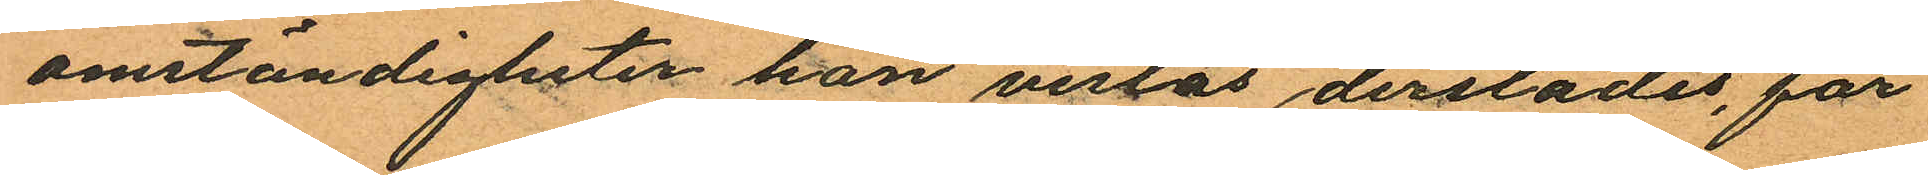omständigheter han vistas derstädes, får
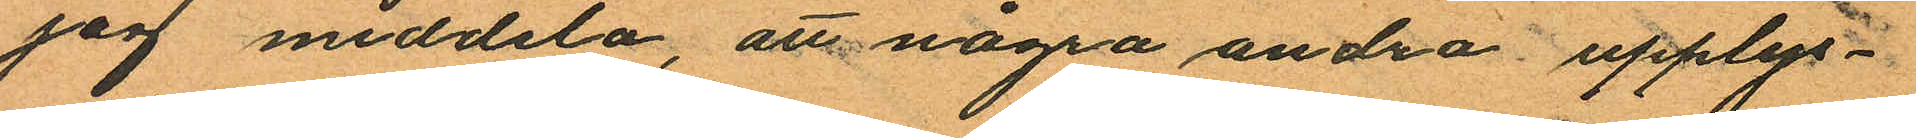jag meddela, att några andra upplys¬
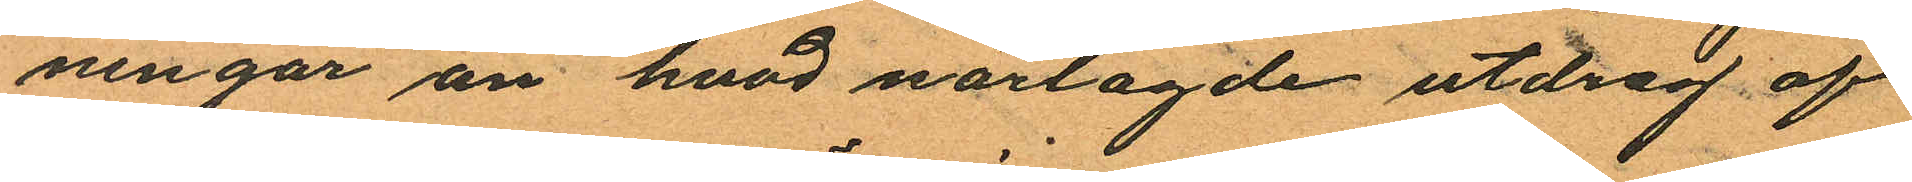ningar än hvad närlagde utdrag af
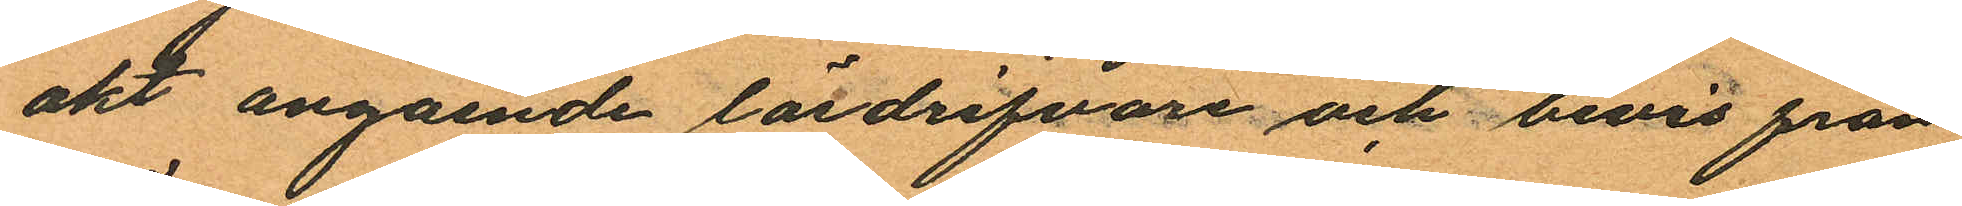akt angaende lösdrifvare och bevis från
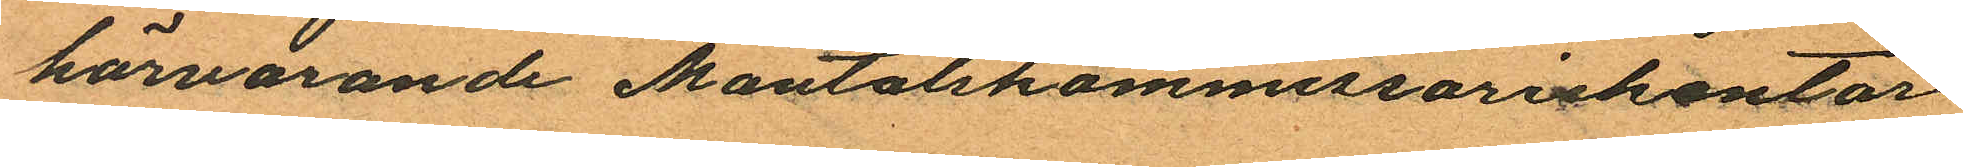härvarande Mantalskommissariekontor
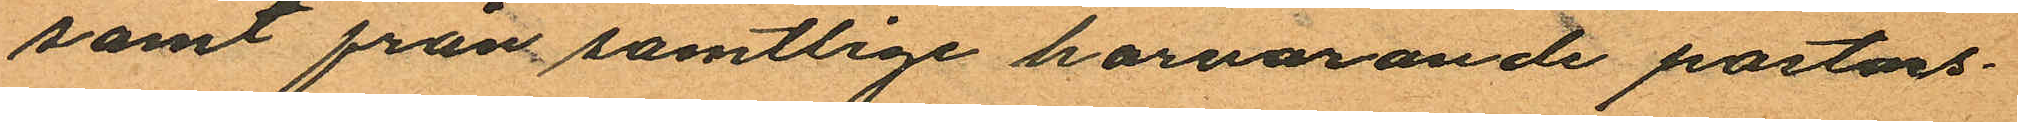samt från samtlige harvarande pastors¬
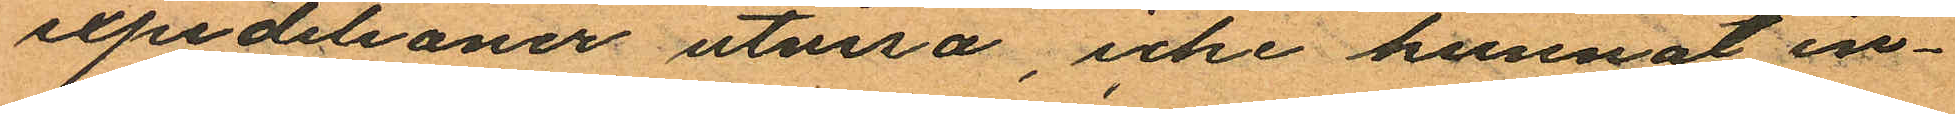expedilioner utvisa, icke kunnat in¬
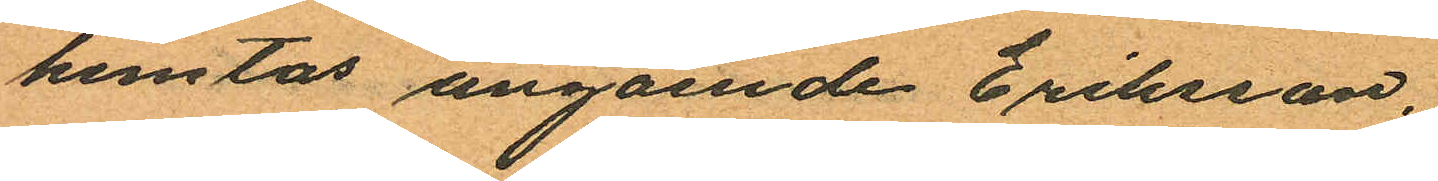hemtas angående Eriksson.
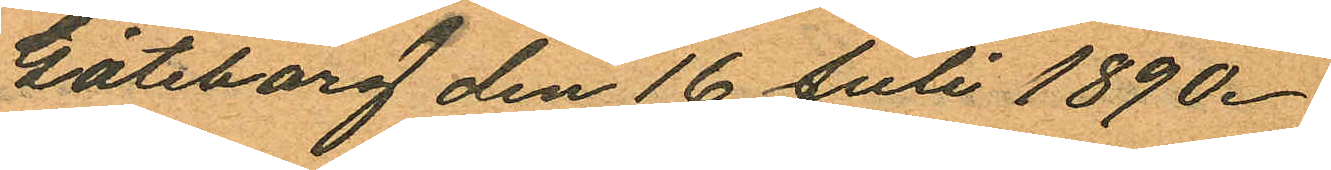Göteborg den 16 Juli 1890.
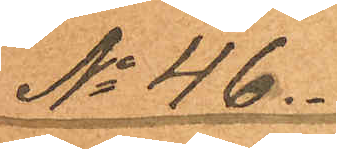No 46.
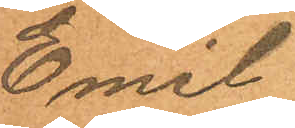Emil
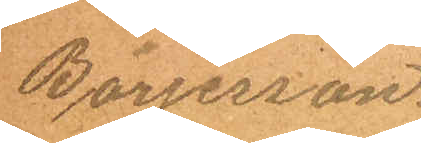Börjesson.
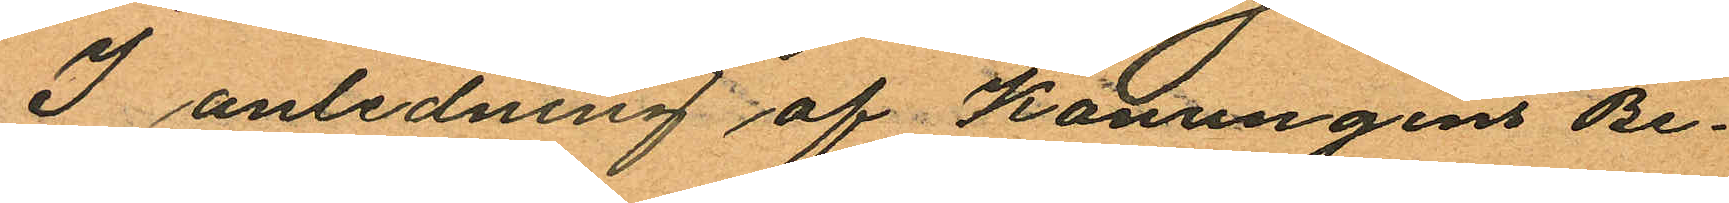I anledning af Konungens Be¬
